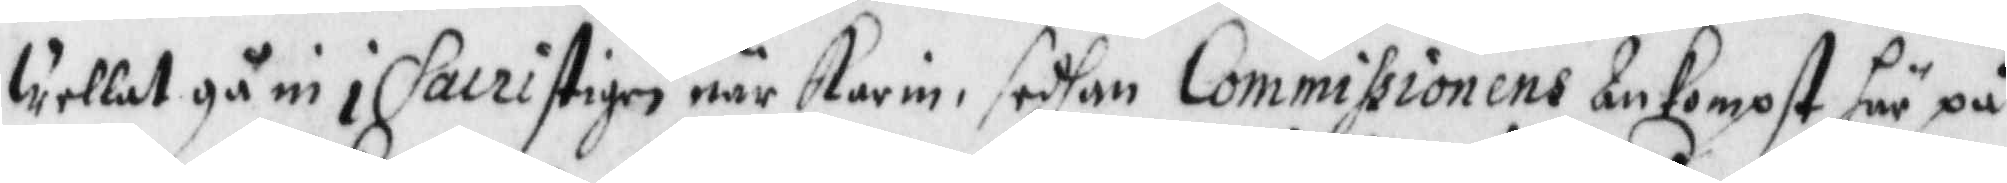wellat gå in i Sacristigen när Karin, sedhan Commissionens Ankompst här på
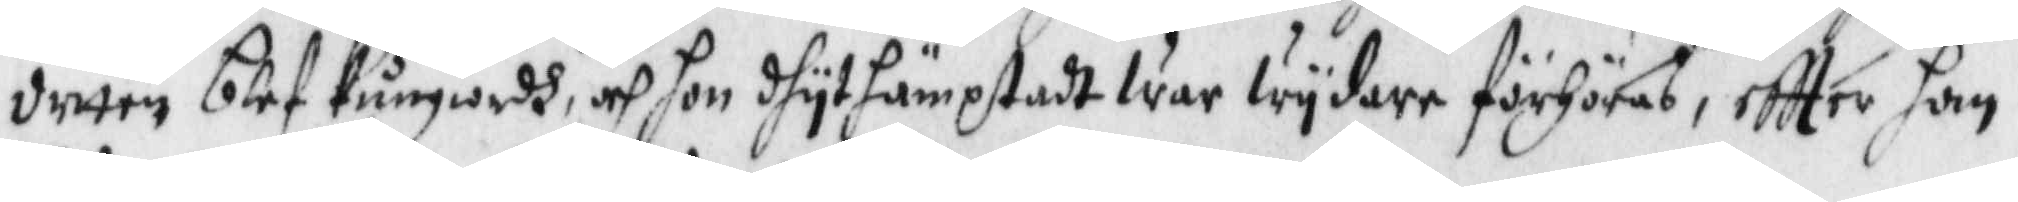detta blef kungiordh, och hon dhyt hämptadt war wydare förhöras, eftter han
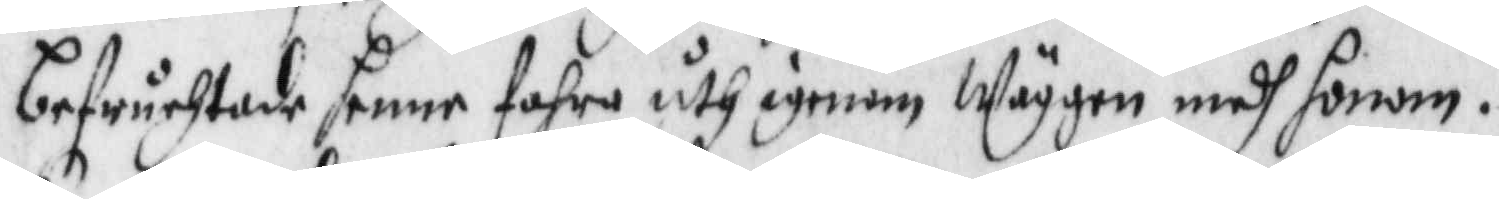befrucktade henne fahra uth igenom wäggen medh honom.
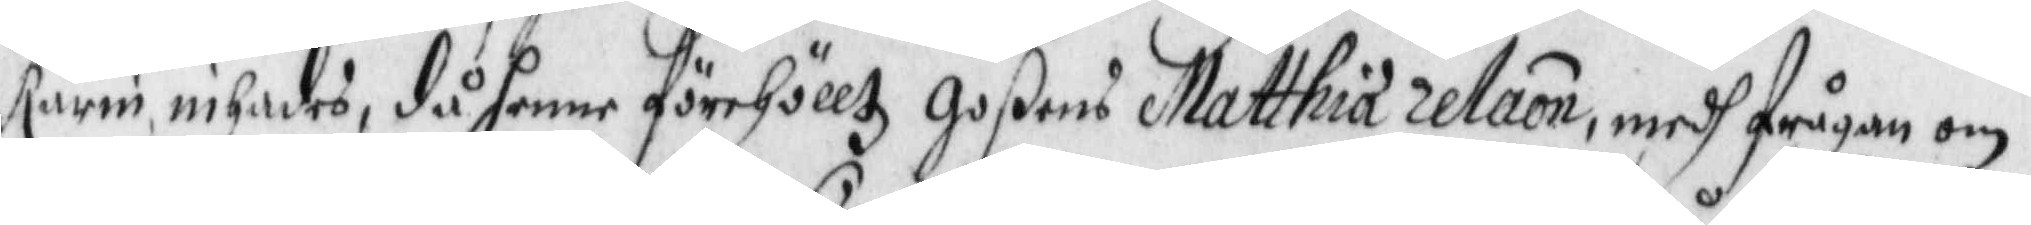karin inhades, då henne förehölltz goßen Matthias relation medh frågan om
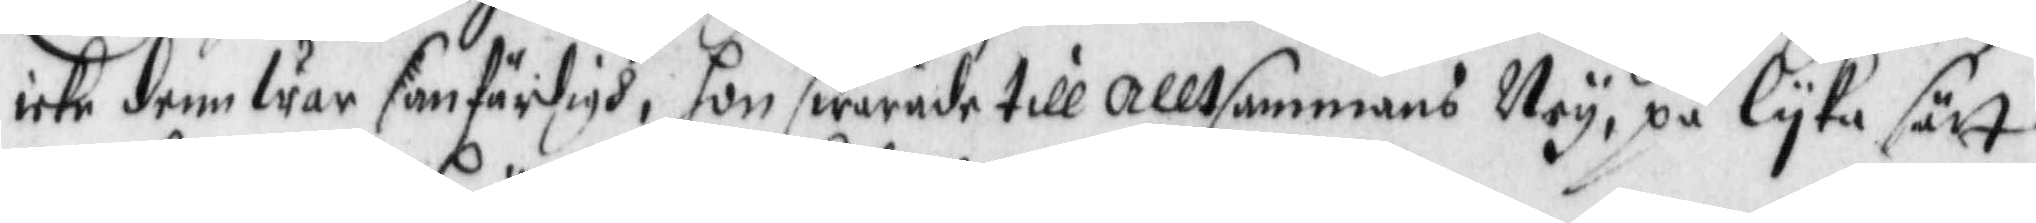icke denn war sanfärdigh, hon swarade till alltsammans Ney, på lyka sätt
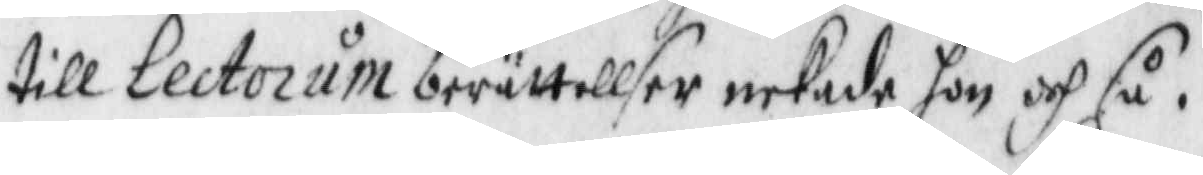till lectorum berättelser nekade hon ocj så.
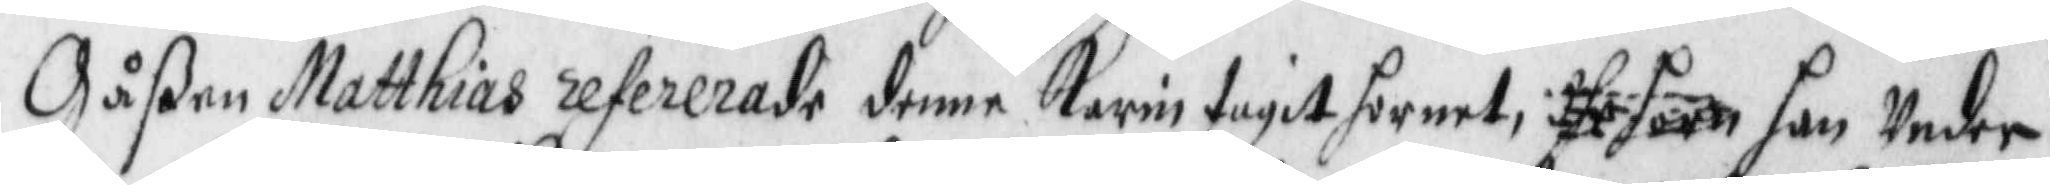Gåßen Matthias refererade denne Karin tagit hornet, dhe horn han Under
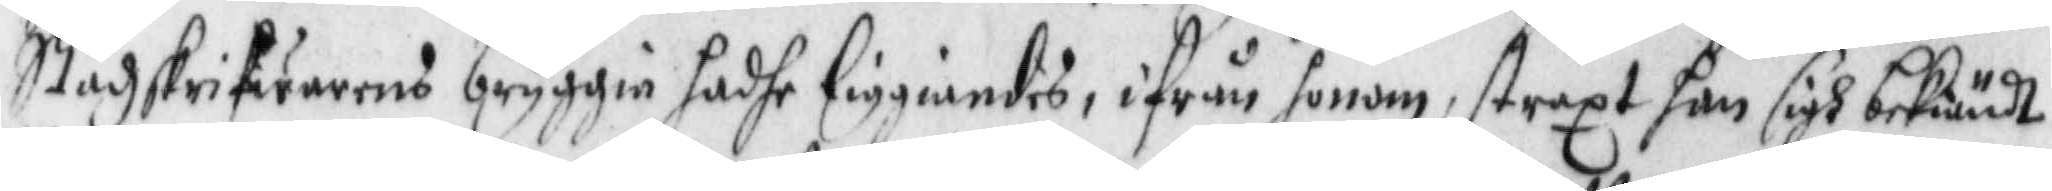Stadzskrifwarens bryggia hadhe liggiandes, ifrån honom, straxt han sigh bekiändt
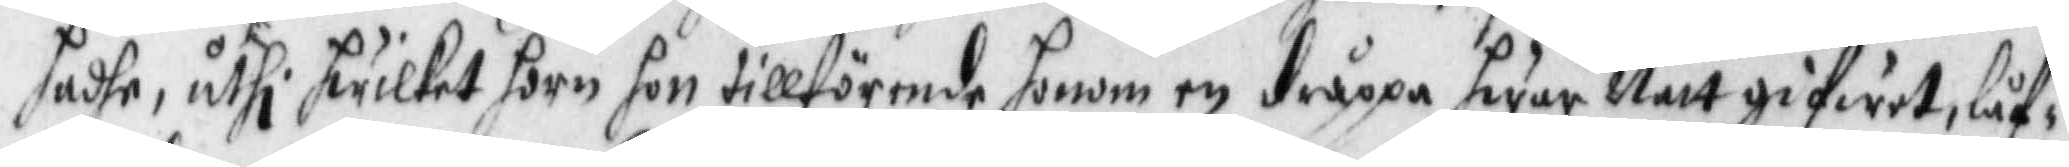hadhe, uthi hwilket horn hon tillförende honom en dråppa hwar Natt gifwit, låf¬
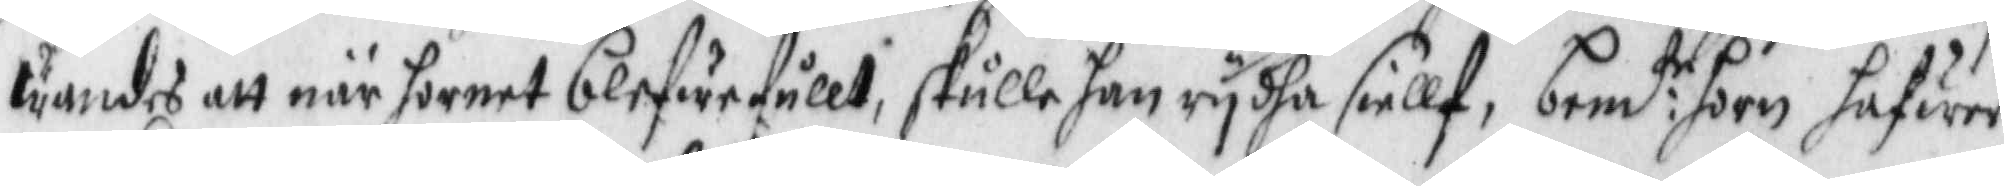wandes att när hornet blefe fullt, skulle han rydha siellf, bem:te horn hafwer
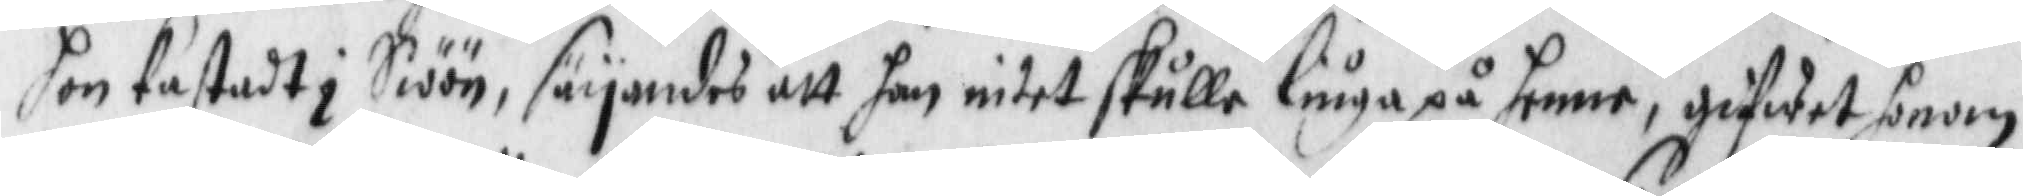hon kastadt i Siöön, säyandes att han intet skulle liuga på henne, gifwet honom
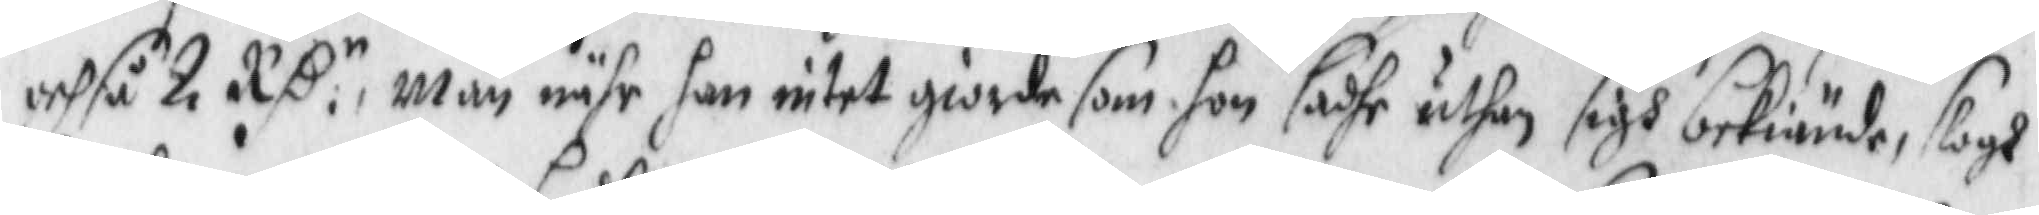ochså 2 RS:n, Män nähr han intet giorde som hon sadhe uthan sigh bekiände, slogh
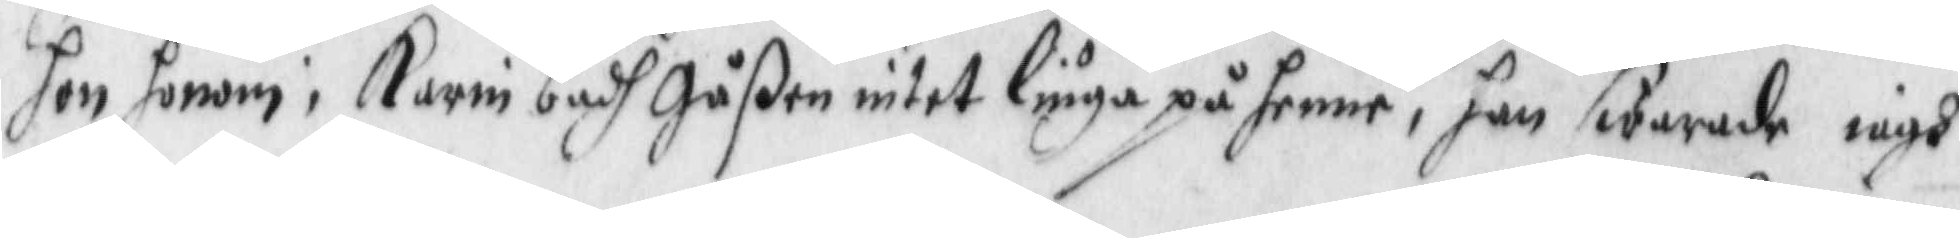hon honom: karin badh Gåßen intet liuga på henne, han swarade iagh
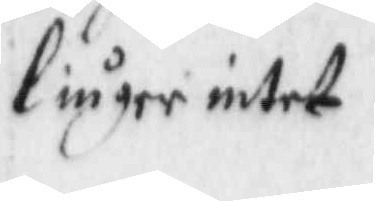liuger intet,
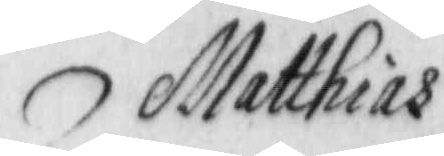Matthias
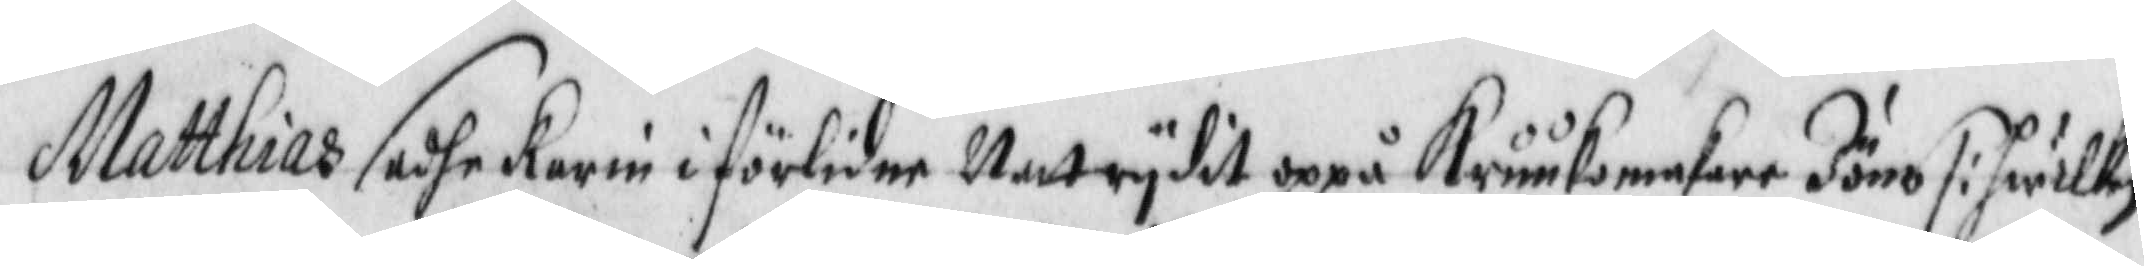Matthias sadhe Karin i förlidne Natt rydit oppå Krukomakare Jöns /: hwilken
